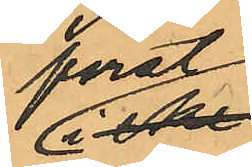först
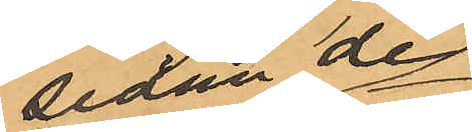sedan de
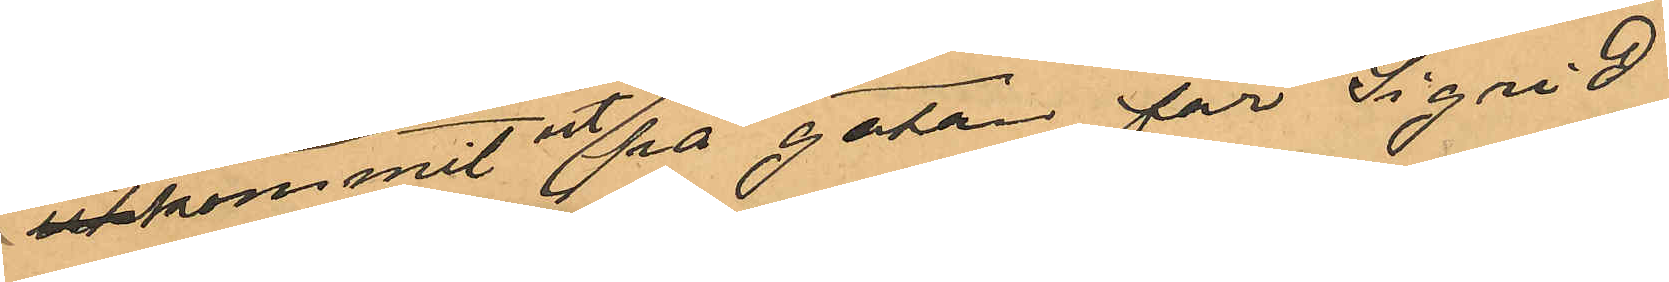utkommit på gatan för Sigrid
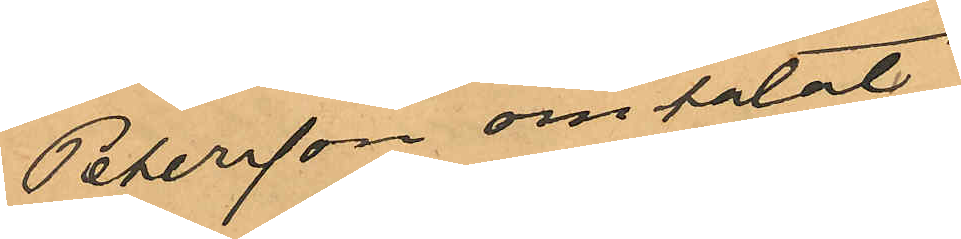Petersson omtalat
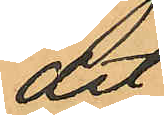att
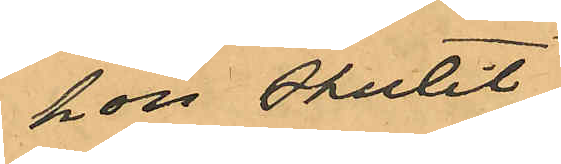hon stulit
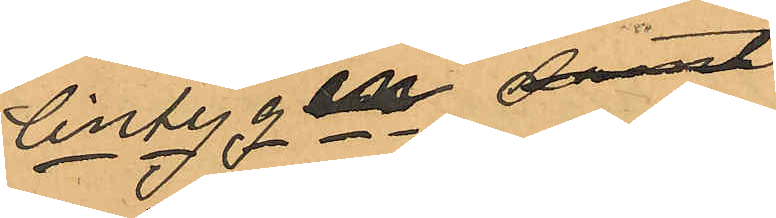lintygen, samt
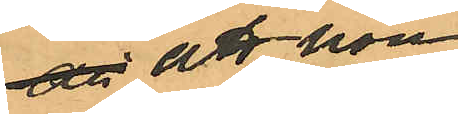att att hon
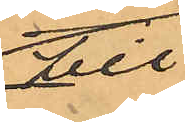till
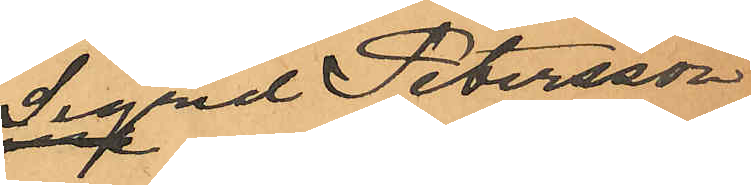Sigrd Petersson
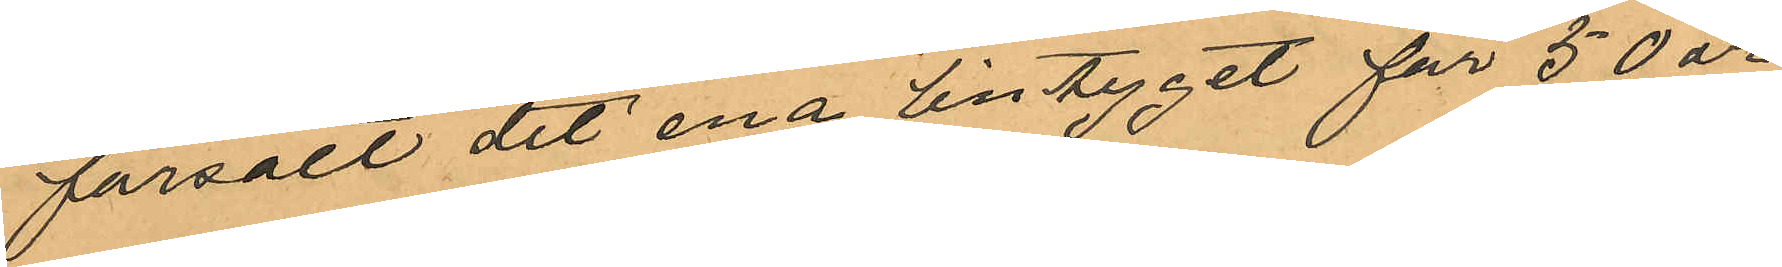försålt det ena lintyget för 50 öre
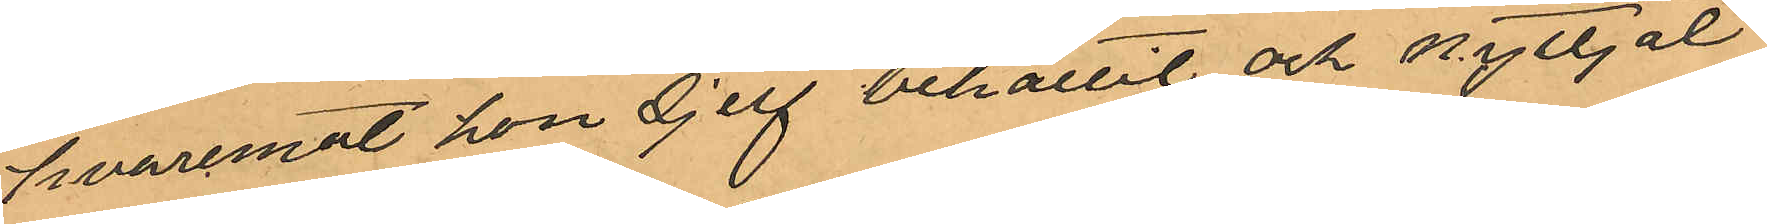hvaremot hon sjelf behållit och nyttjat
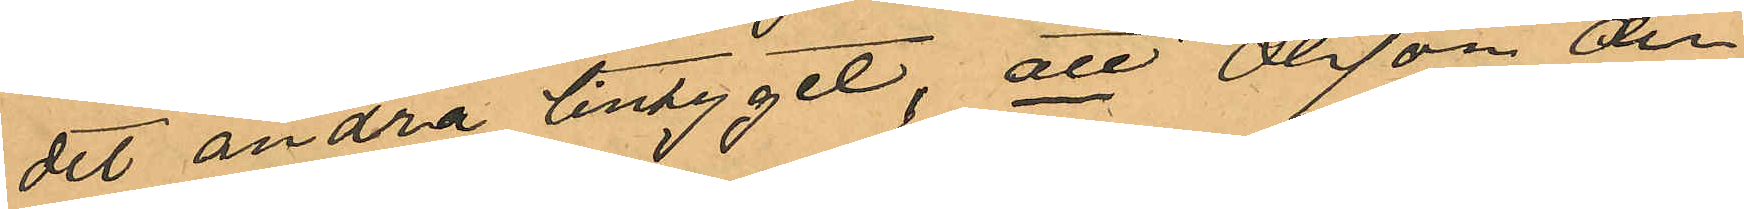det andra lintyget; att Olsson den
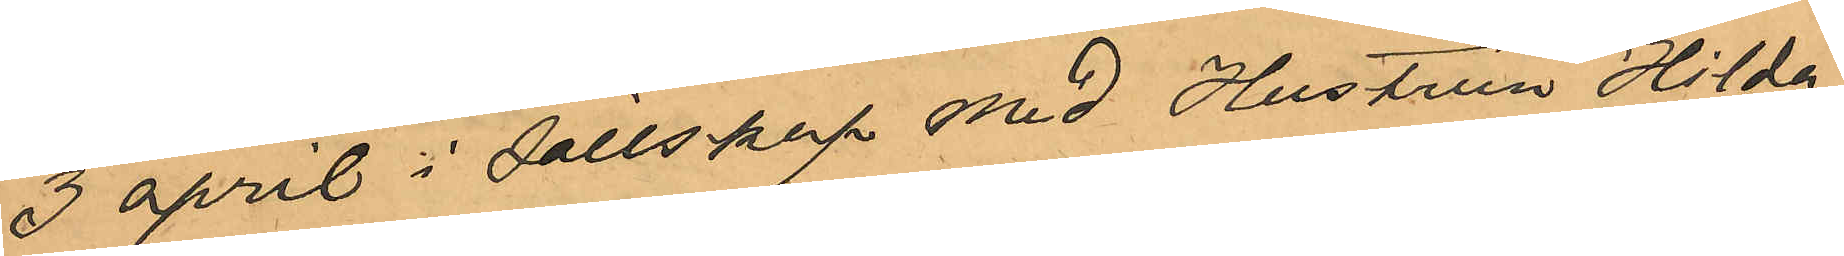3 april i sällskap med Hustrun Hilda
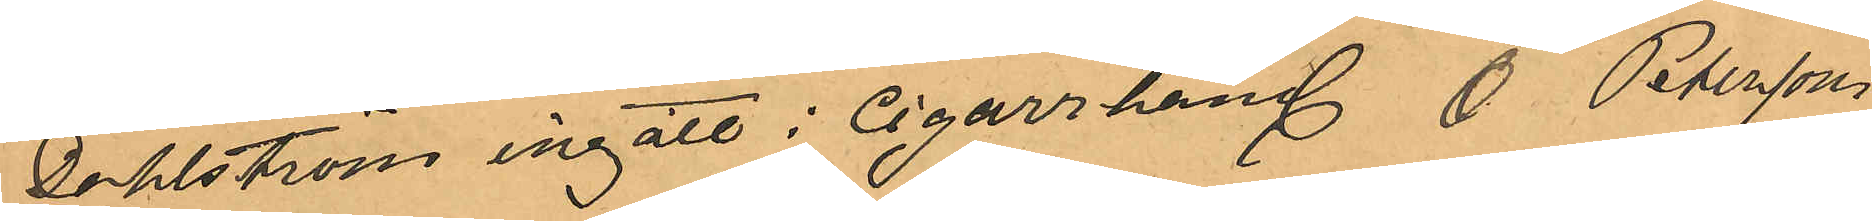Dahlström ingått i Cigarrhandl O. Peterssons
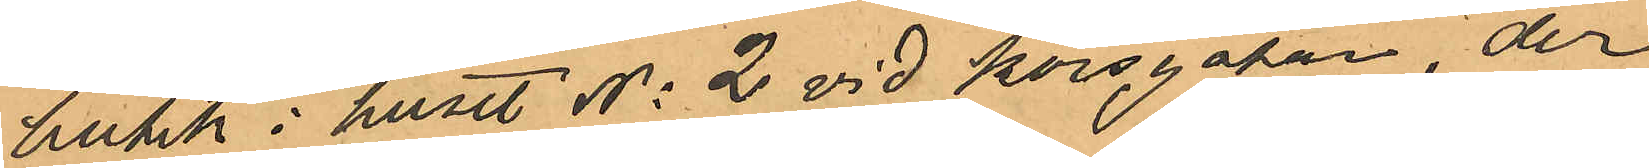butik i huset No 2 vid Korsgatan, der
